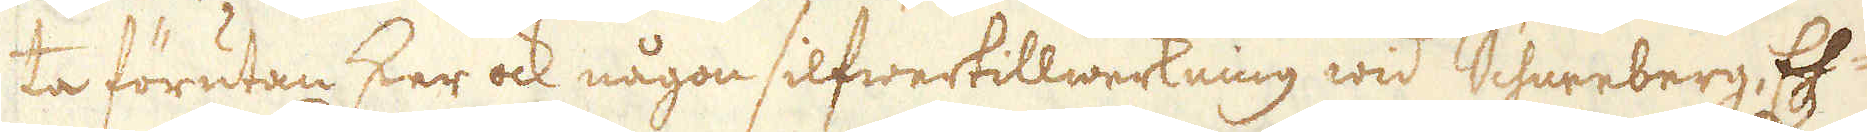ta förutan sker ock någon silfwertillwerkning wid Schureberg, Eh-
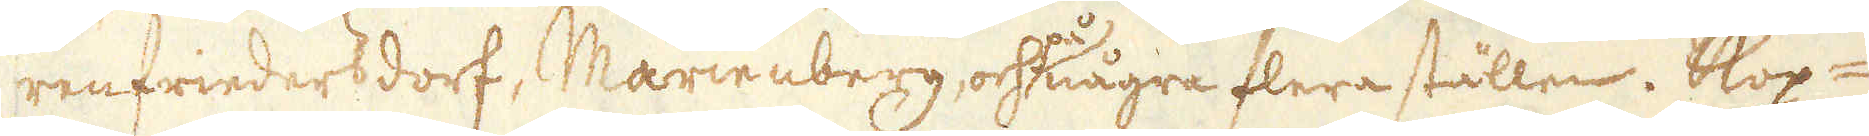renfriedersdorf, Marienberg, och några flera ställen. Kop-
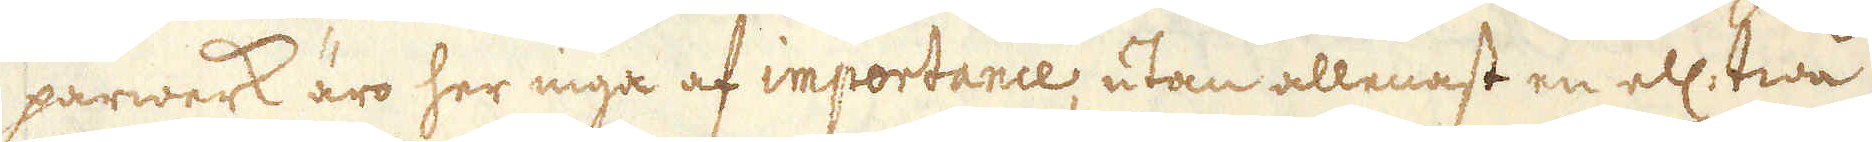parwerk äro her inga af importance utan allenast en ell: twå
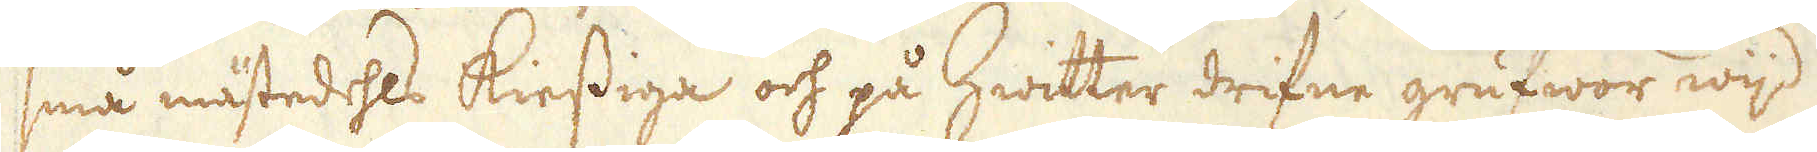små mästedehls kiessiga och på hwitter drifne grufwor wijd
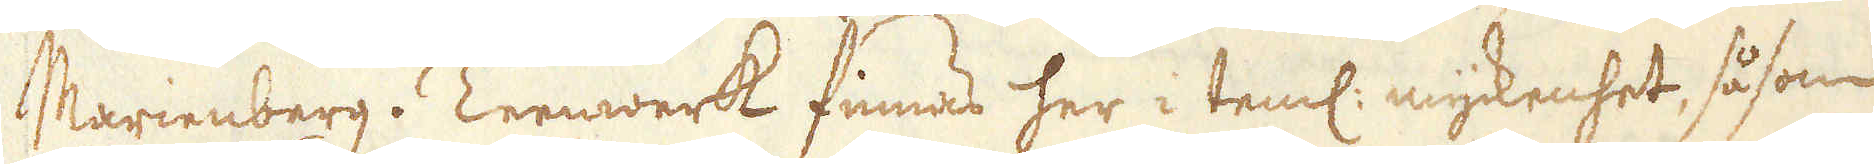Marienberg. Tennwerk finnas her i teml: myckenhet, såsom
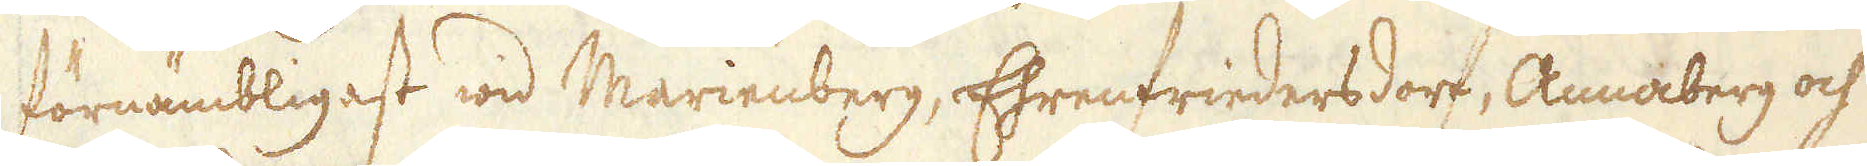förnämbligast wid Marienberg, Ehrenfriedersdorf, Annaberg och
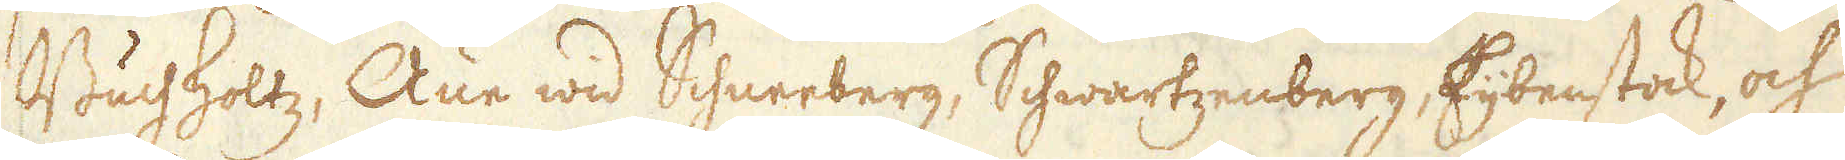Buchholtz; Änn wid Schnerberg, Schwartzenberg, Eijbenstock, och
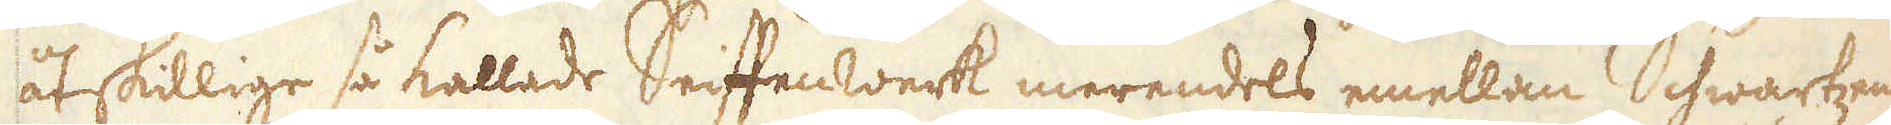åtskillige så kallade Seiftenwerk merendels emellan Schwartzen-
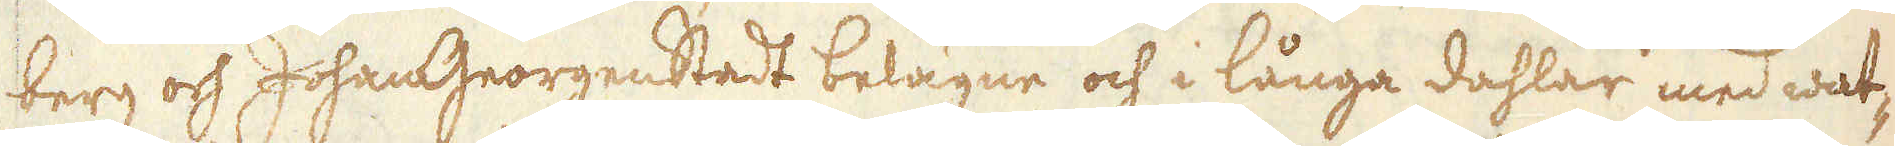berg och JohanGeorgenstadt belägne och i långa dahlar med wat-
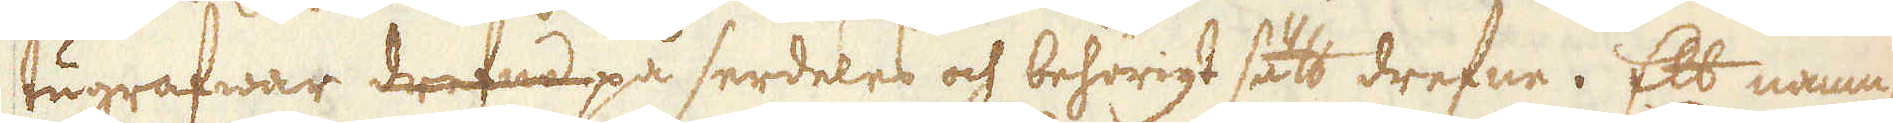tugrafwar drefne på serdeles och behörigt sätt drefne. Ett namn-
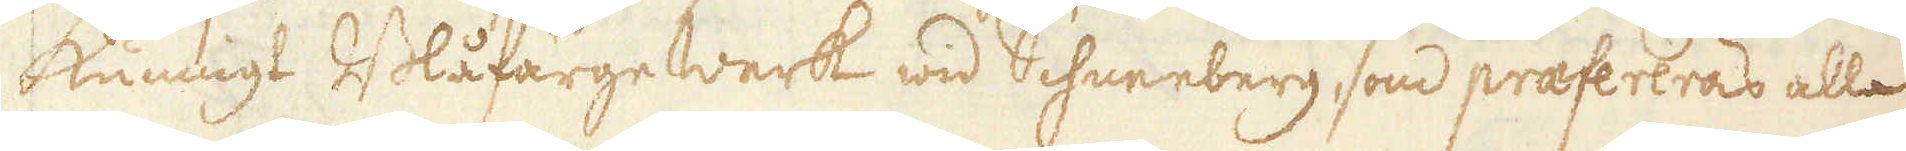kunnigt Blåfärge werk wid Schneeberg som praefereras alla
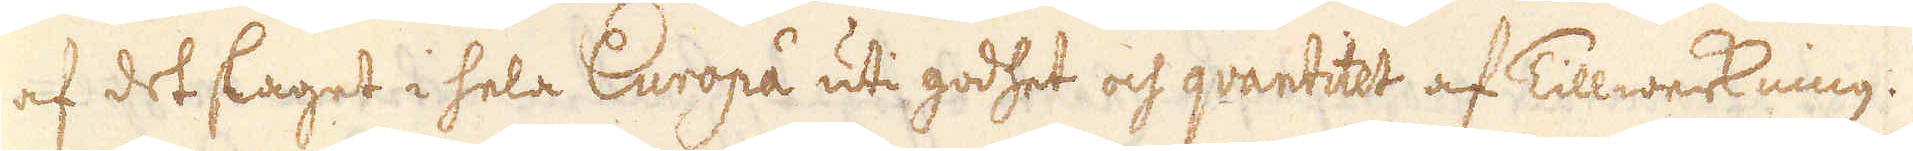af det slaget i hela Europa uti godhet och qvantitet af Tillwerkkning.
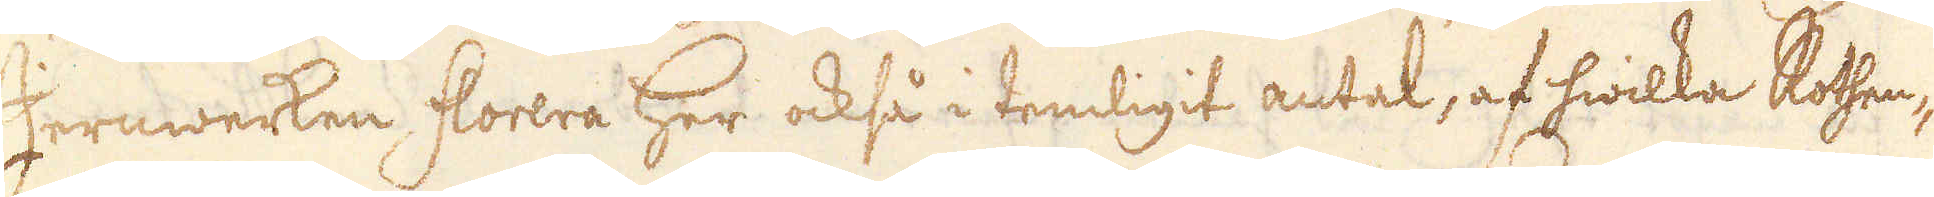Jernwerken, florera Her också i temligit antal, af hwilka Rohen-
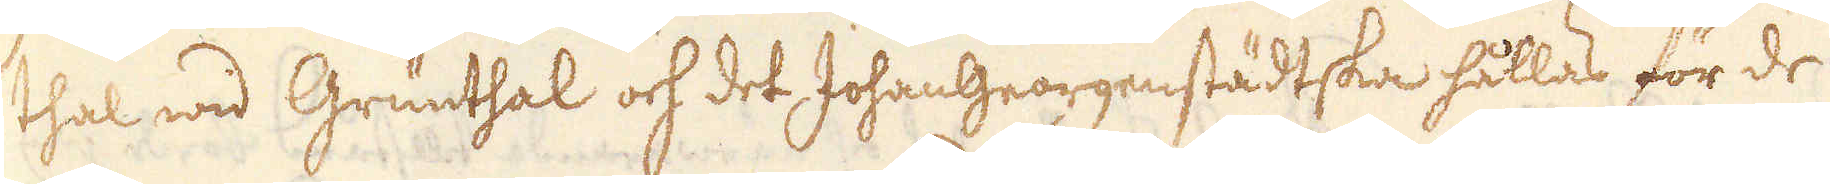thal wid Grunthal och det Johangeorgenstädtska hållas för de
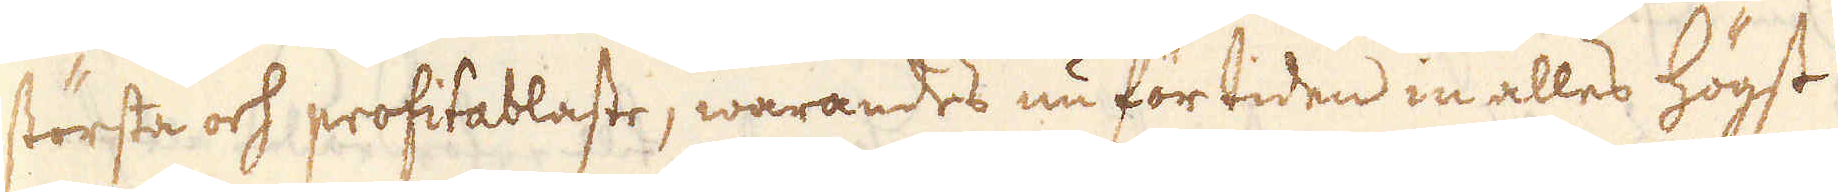största och profitablaste, warandes nu för tiden in alles högst
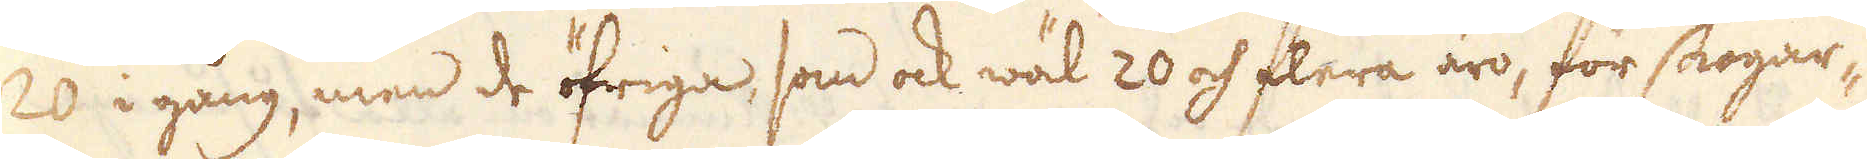20 i gång, men de öfriga, som ock wäl 20 och flera äro, för skogar-
